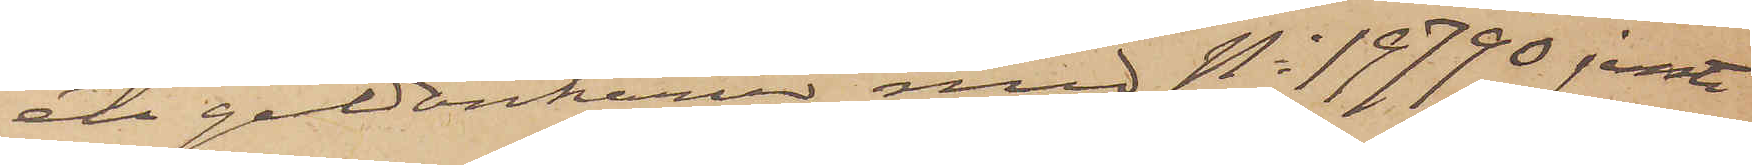ett guldankarur med No 19790 jemte
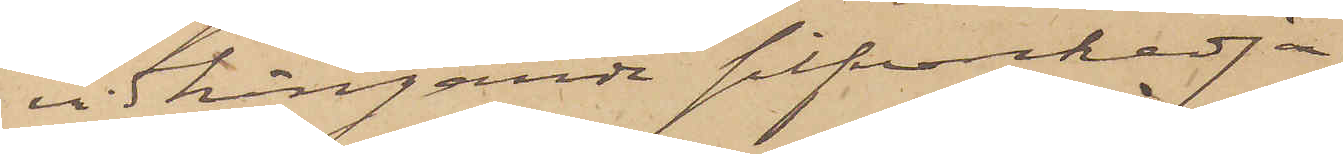vidhängande silfverkedja
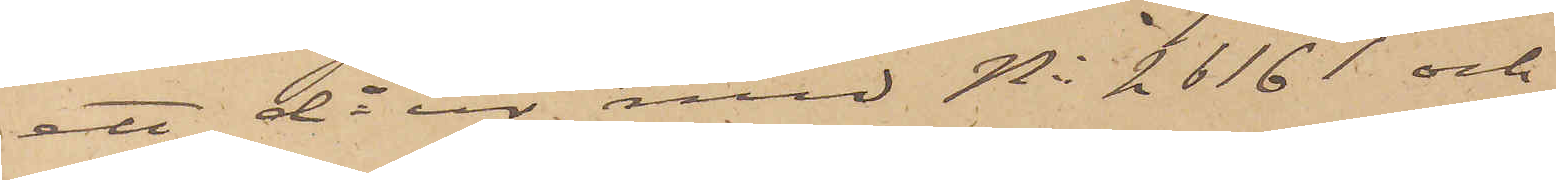ett do ur med No 26161 och
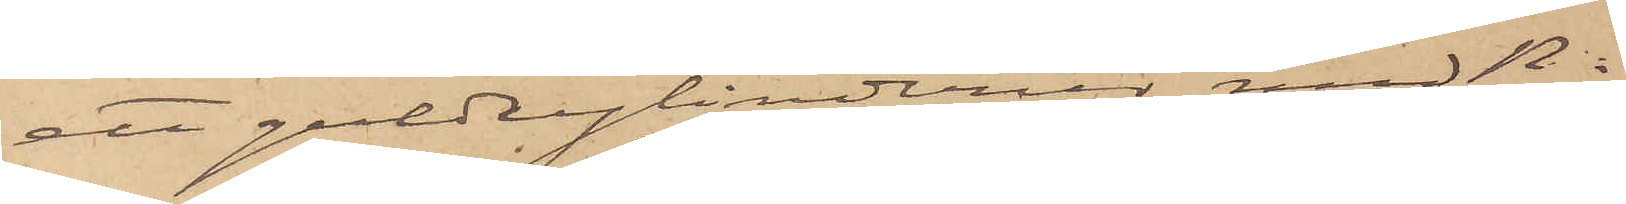ett guldcylinderur med No 
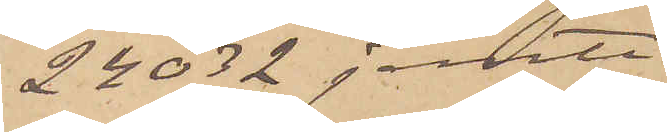24032 jemte
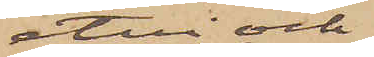etui och
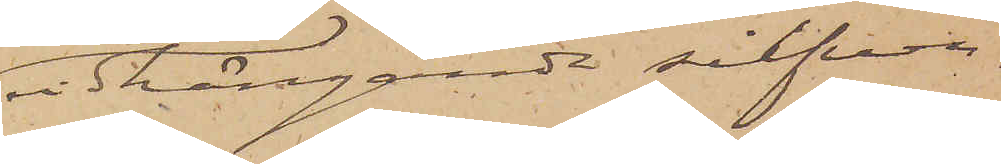vidhängande silfver¬
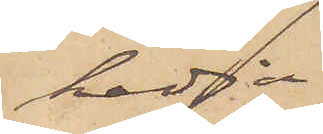kedja.
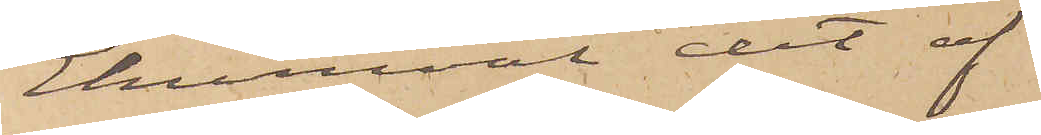Ehuruväl det af
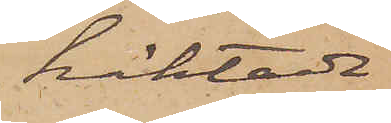häktade
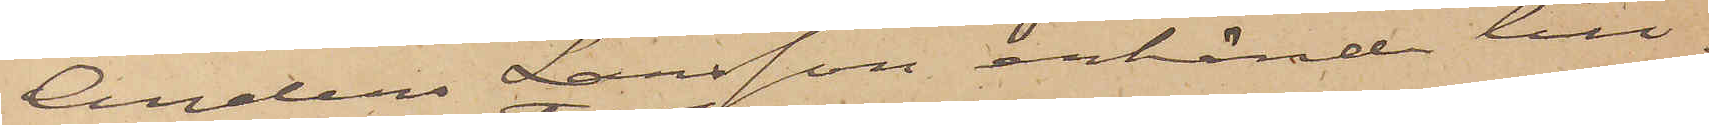Anders Larsson erkände till¬
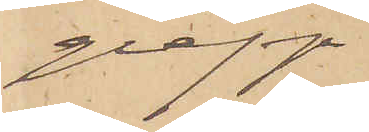grepp
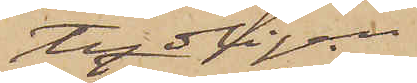tydligen
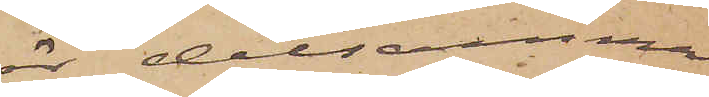är detsamma
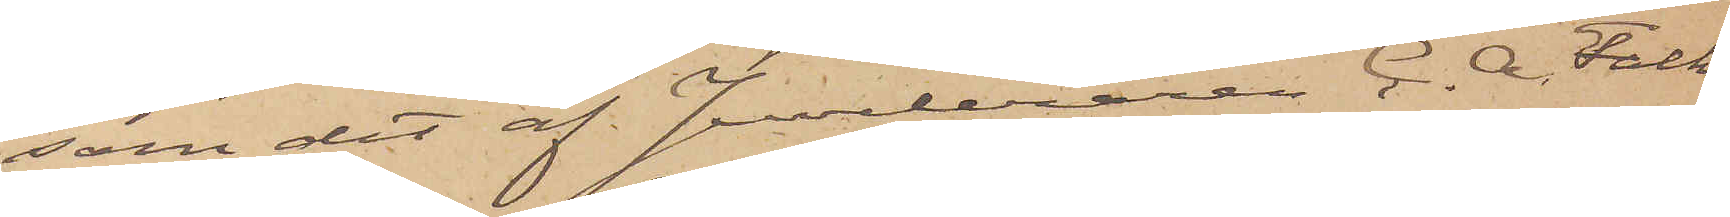som det af Juveleraren C. A. Falk
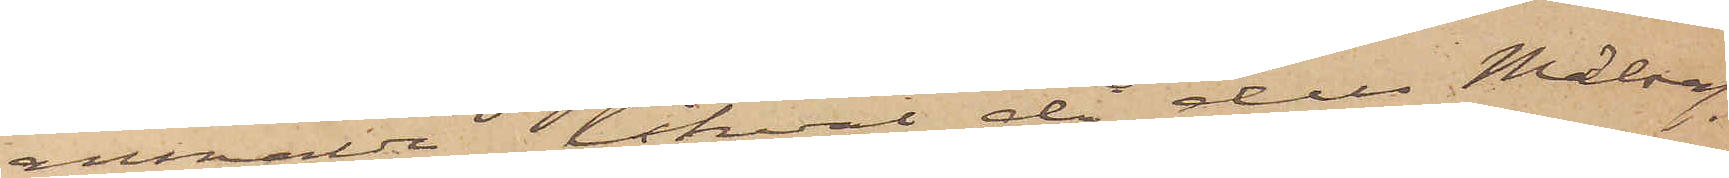anmälde, likväl då dels Målseg
